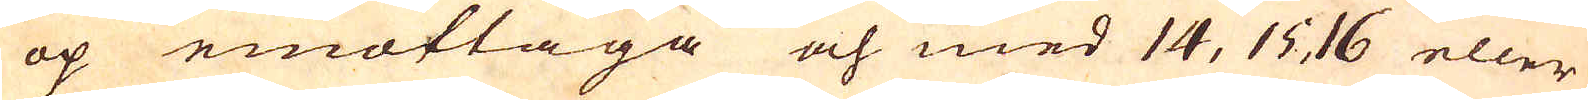op emottaga och med 14, 15, 16 eller
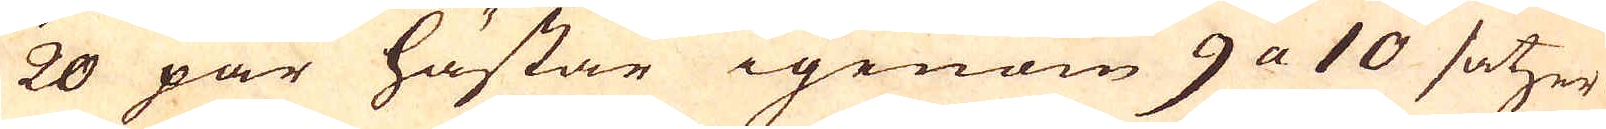20 par hästar igenom 9 a 10 satzer
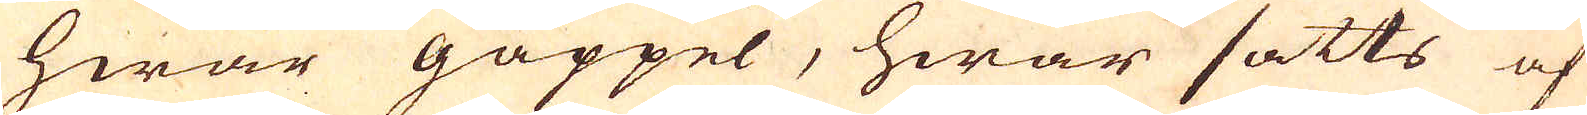hwar gäppel, hwar satts af
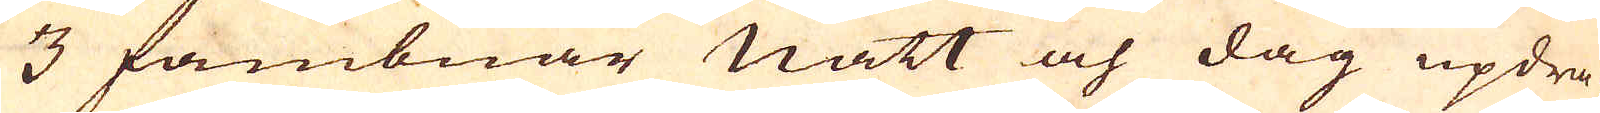3 fambnar natt och dag updra-
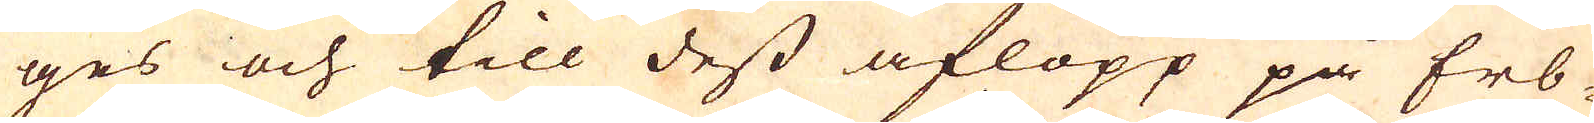ges och till dess aflopp på Erb-
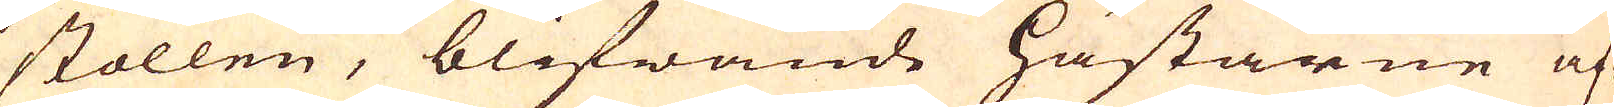stollen, blifwande hästarne af-
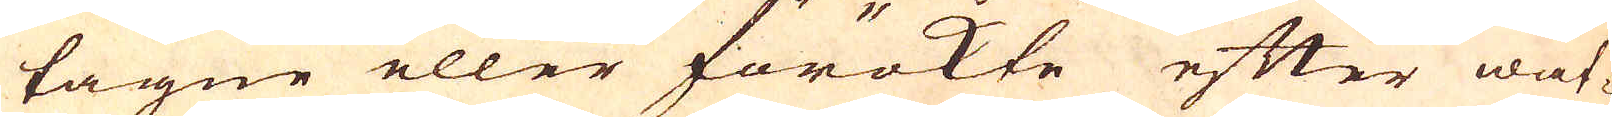tagne eller förökte efter wat-
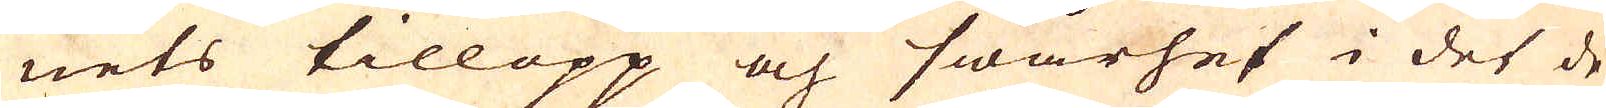nets tillopp och swårhet i det de
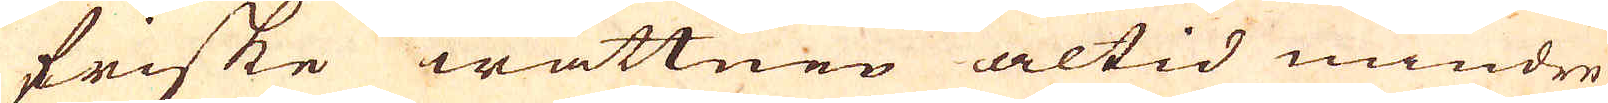friske wattnen altid mindre
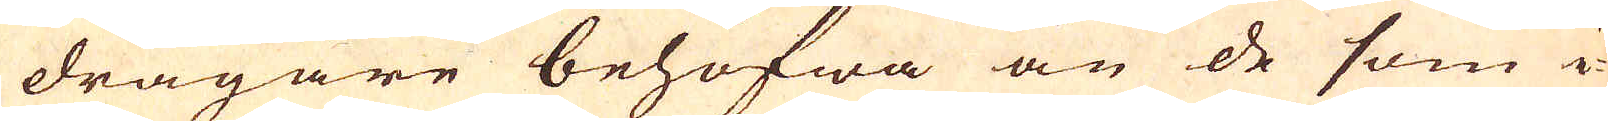dragare behöfwa än de som i
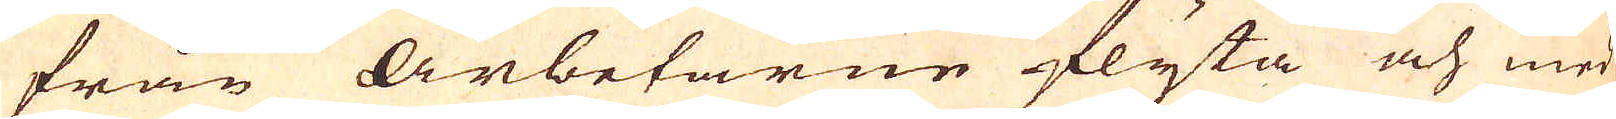från Arbetarne flyta och med
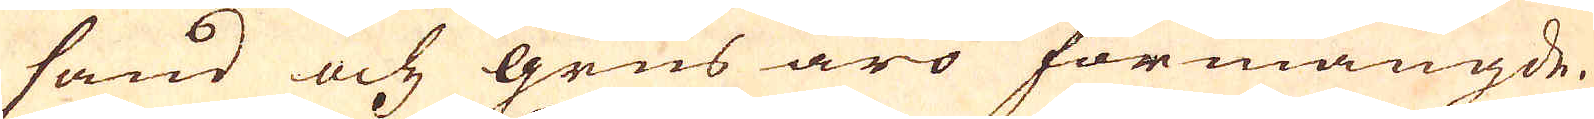sand och grus äro förmängde.
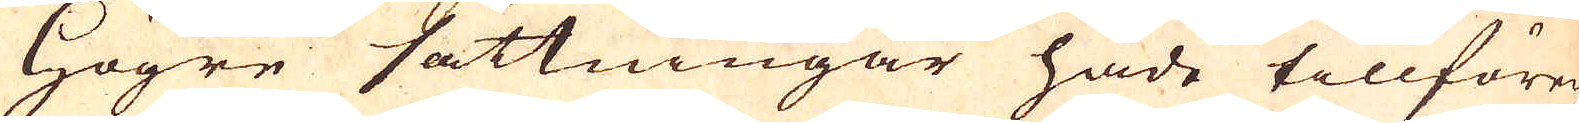Högre sättningar hade tillförer-
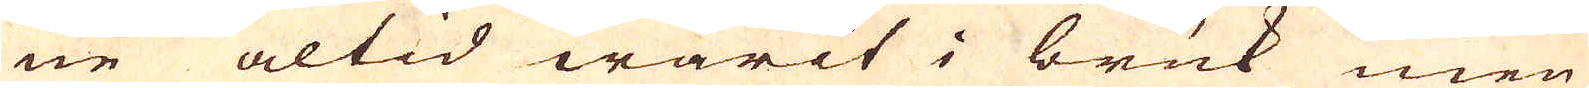ne altid warit i bruk men
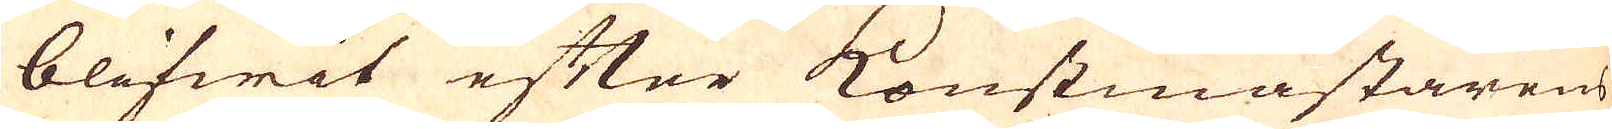blifwit efter konstmästarens
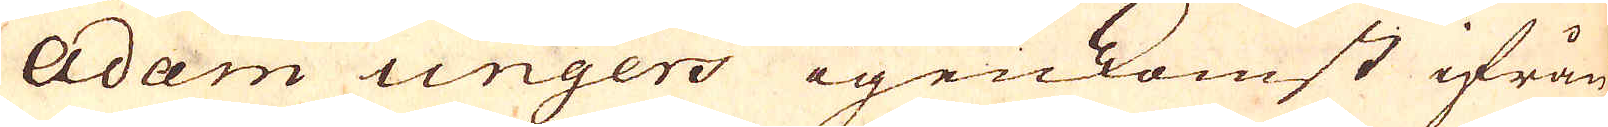Adam Ungers igenkomst ifrån
